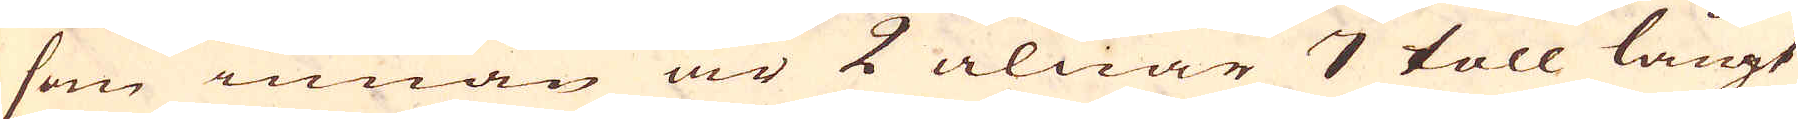som innan är 2 alnar 7 toll låängt
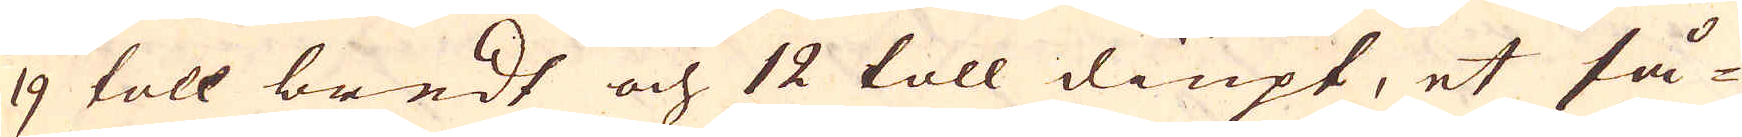9 toll bredt och 12 toll diupt, et så-
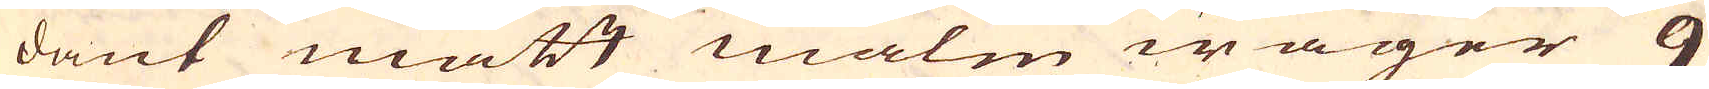dant mått malm wäger 9
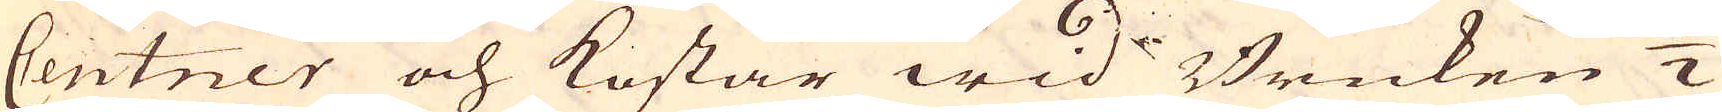Centner och kostar wid Bruken 1/2
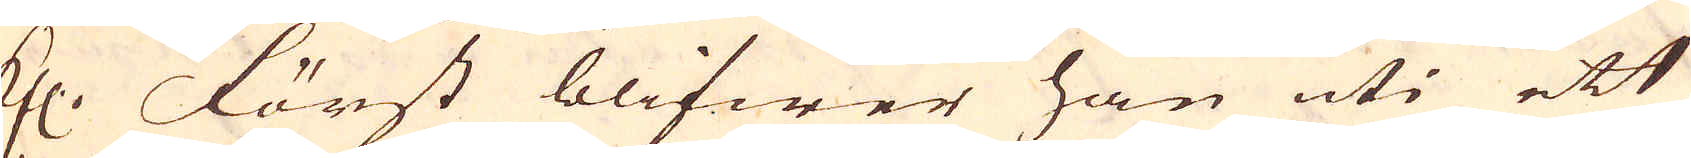fl. Först blifwer han uti ett
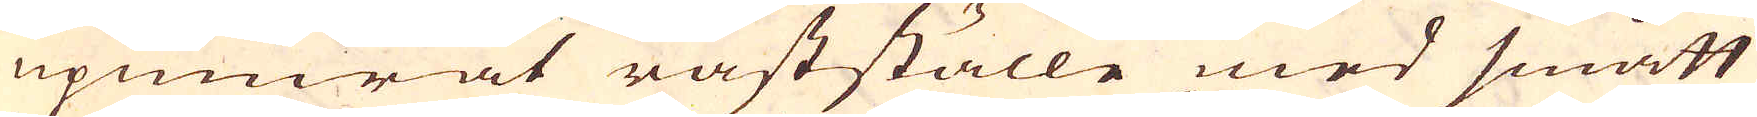upmurat råstställe med smått
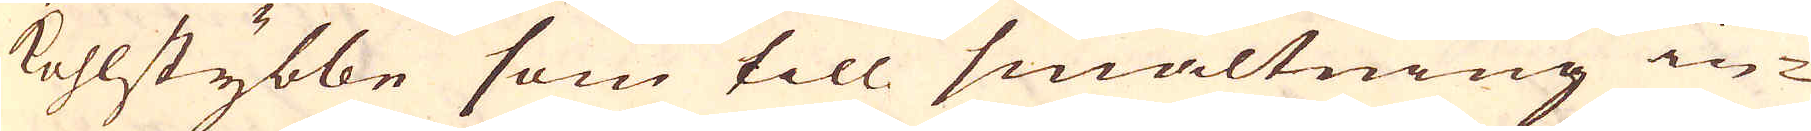kohlstybbe som till smältning in-
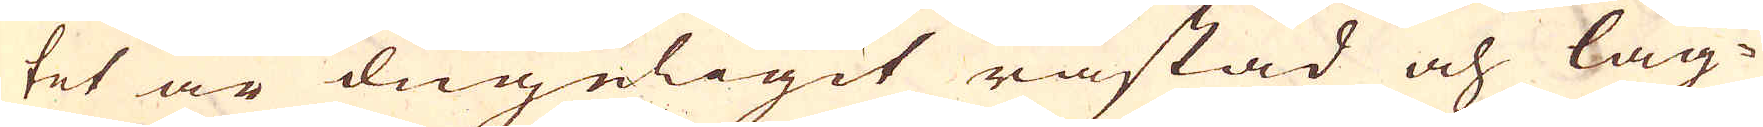tet är dugeligit råstad och läg-
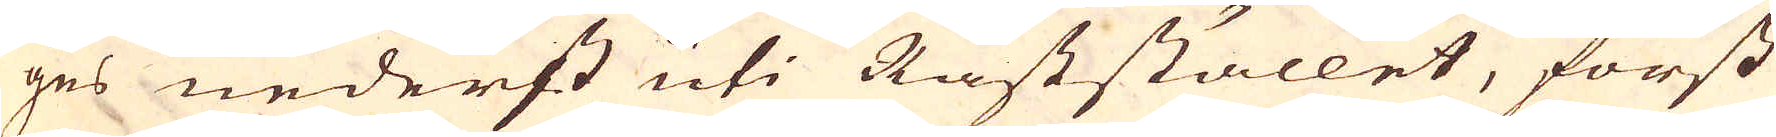ges nederst uti Råststället, först
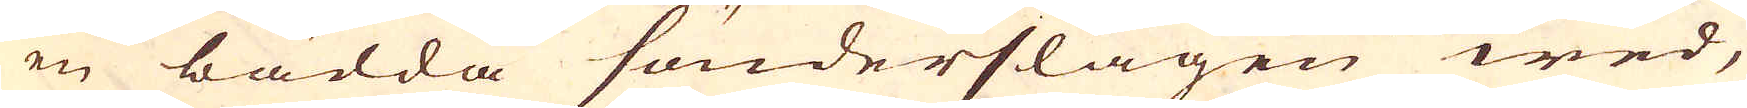en bädda sönderslagen wed,
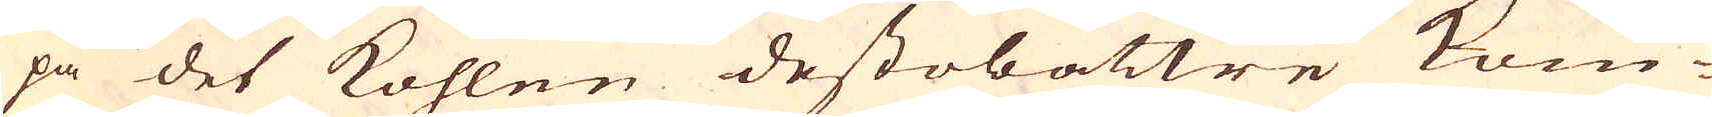på det kohlen destobättre kom-
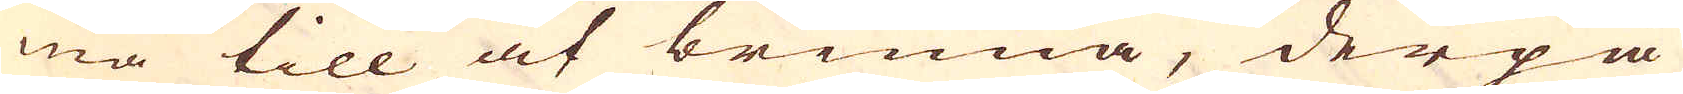ma till at brinna, derpå
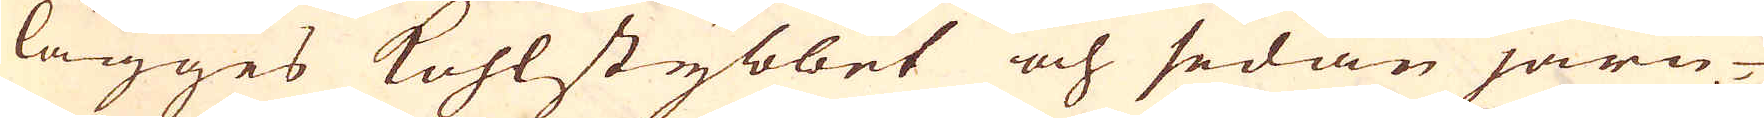lägges kohlstybbet och sedan järn-
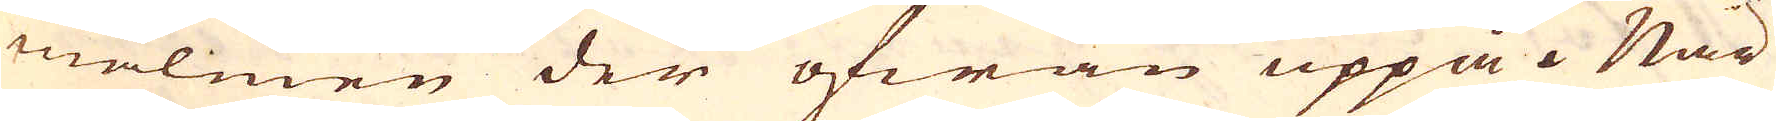malmen der ofwan uppå. När
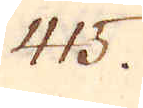415.
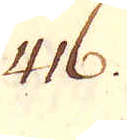416.
